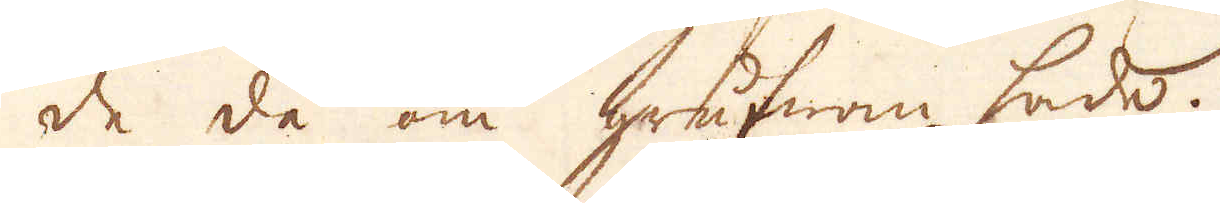de då om grufwan hade.
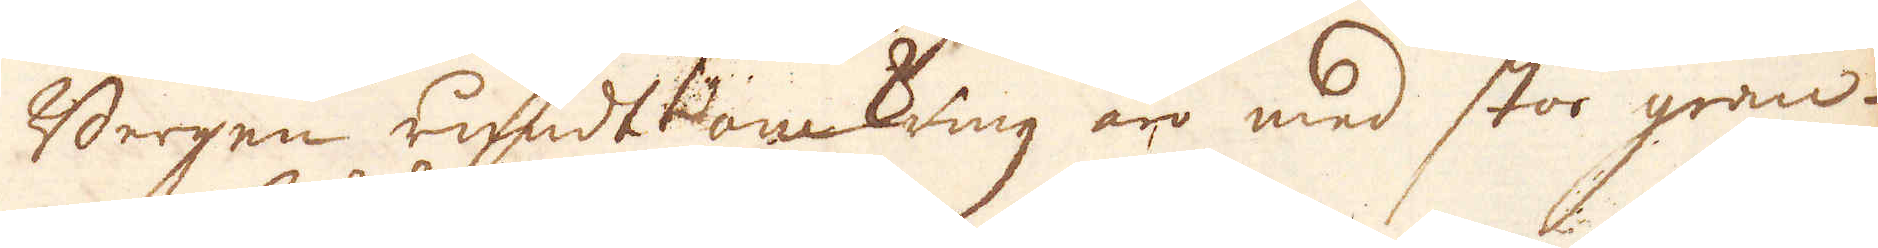Bergen rundt omkring äro med stor gran-
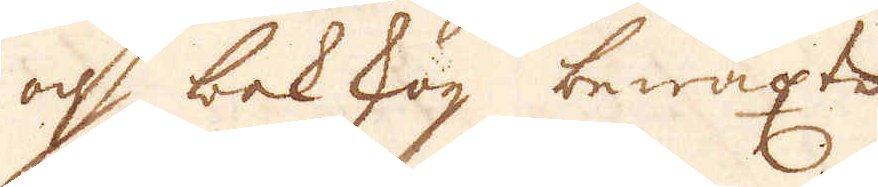och bokskog bewäxte
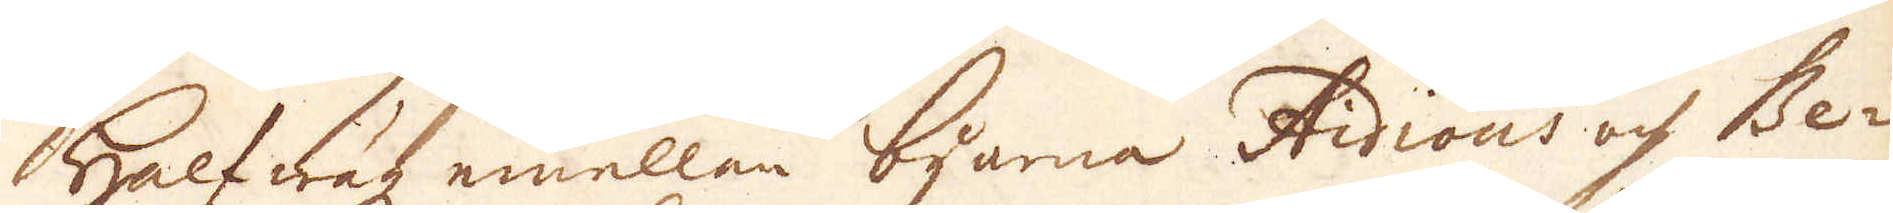Halfwägz emellan byarna Aidious och Be-
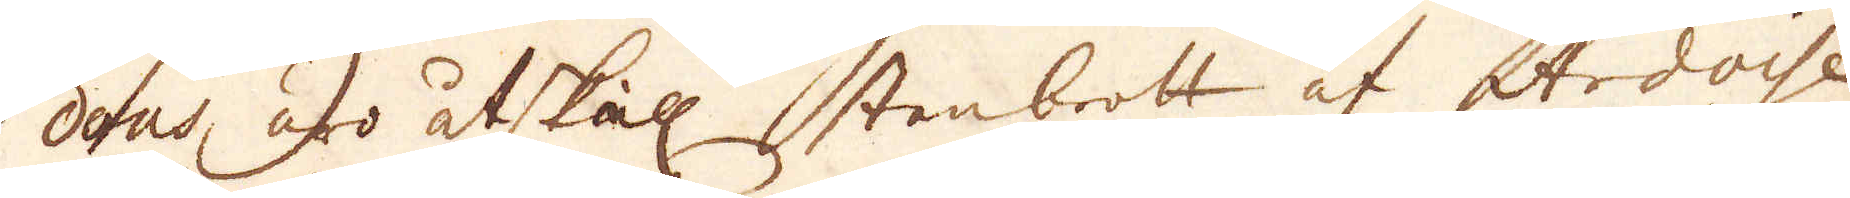dous, äro åtskill stenbrott af Ardoise
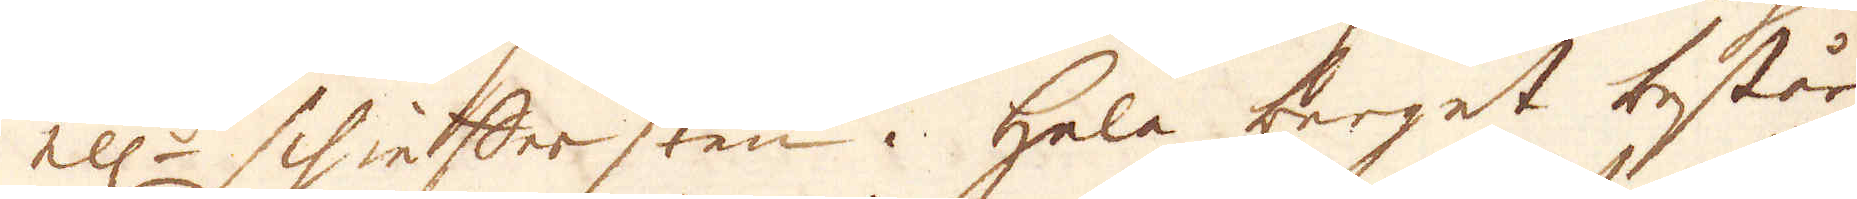ell:r schieffer sten. Hela berget består
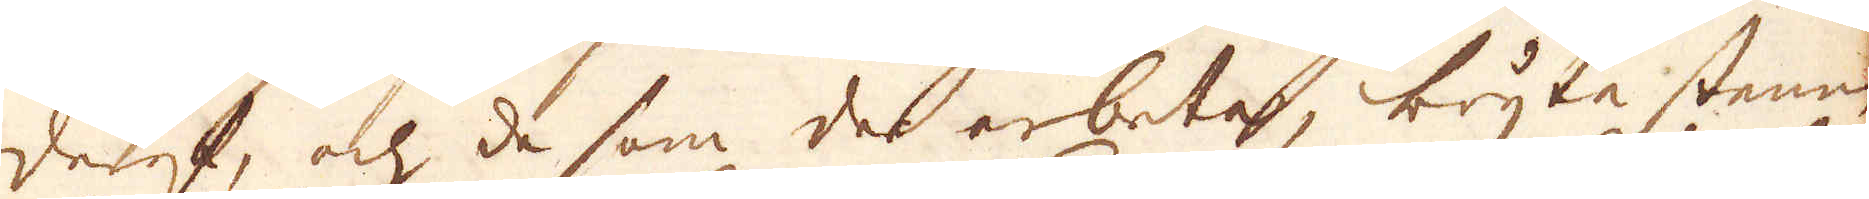deraf, och de som der arbeta, bryta stenen
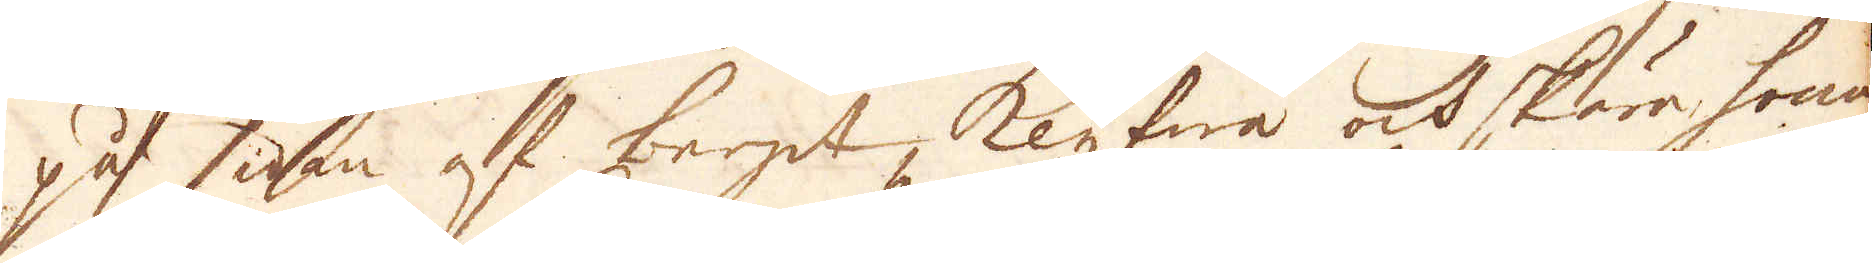på sidan af berget, klyfwa och skära honom
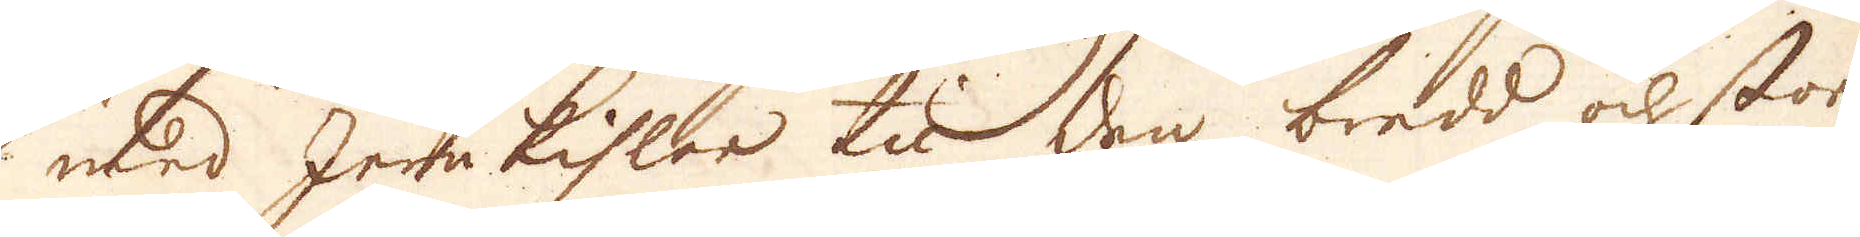med Jernkihlar til den bredd och stor
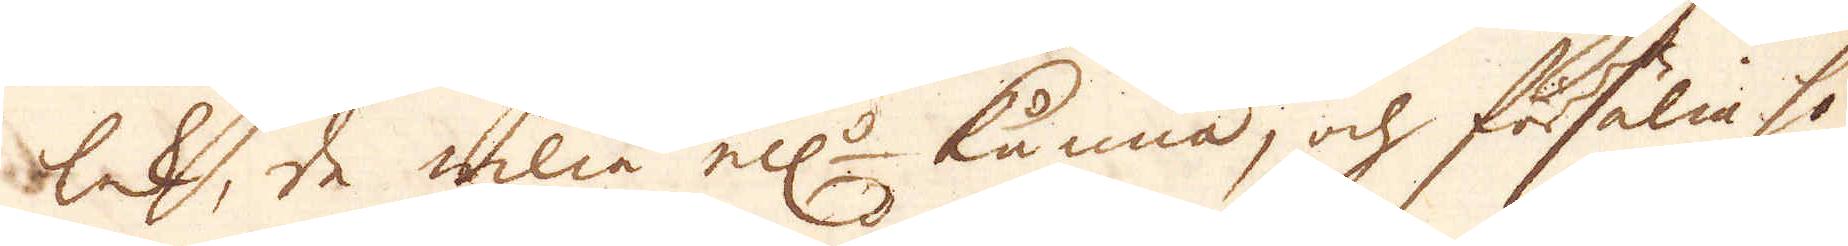lek, de wilia ell:r känna, och försälia ho-
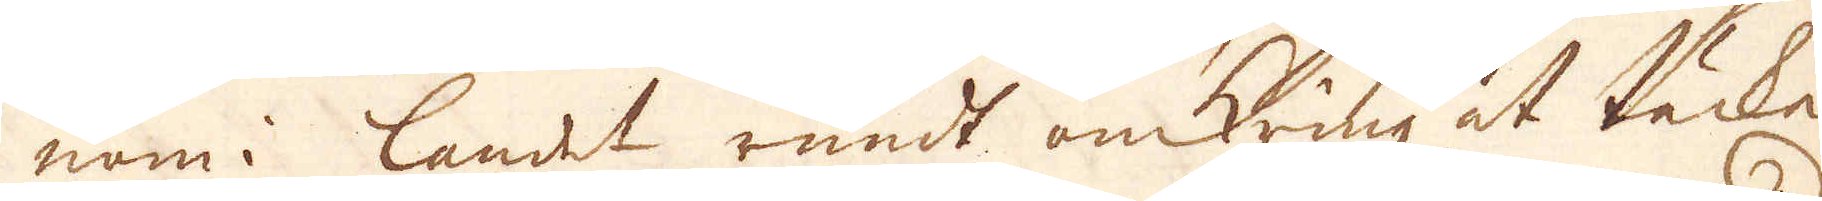nom i landet rundt omkring at täcke
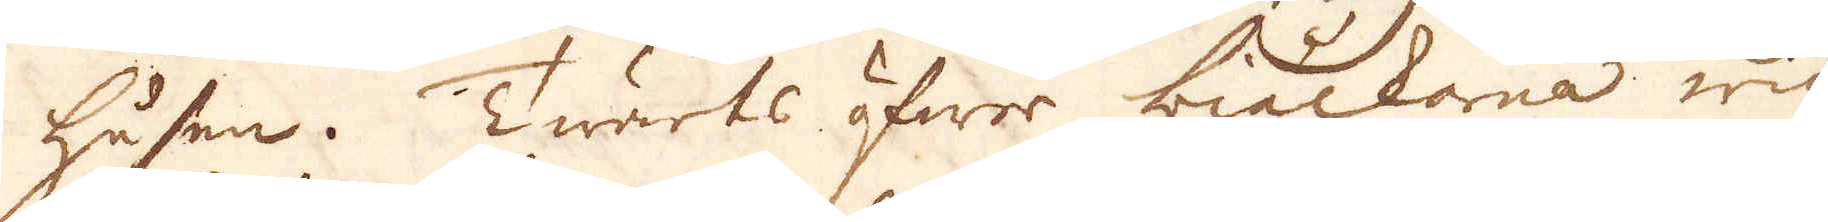husen. Twärts öfwer biälkarna wid
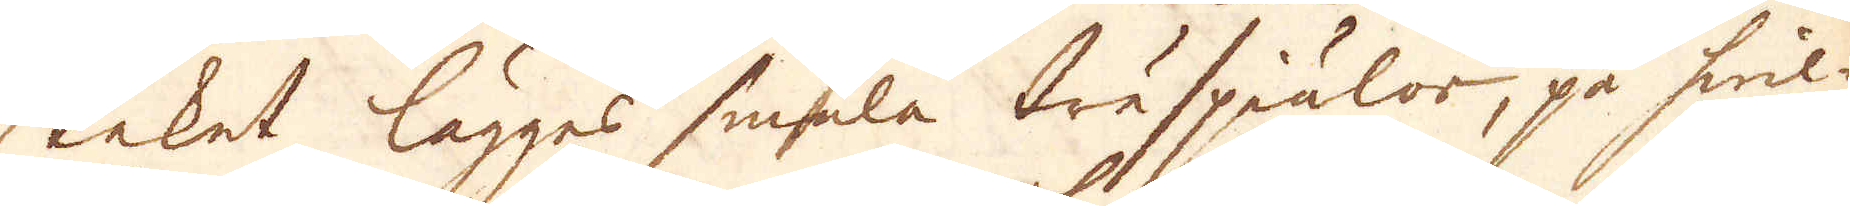taket lägges smala träspiälor, på hwil-
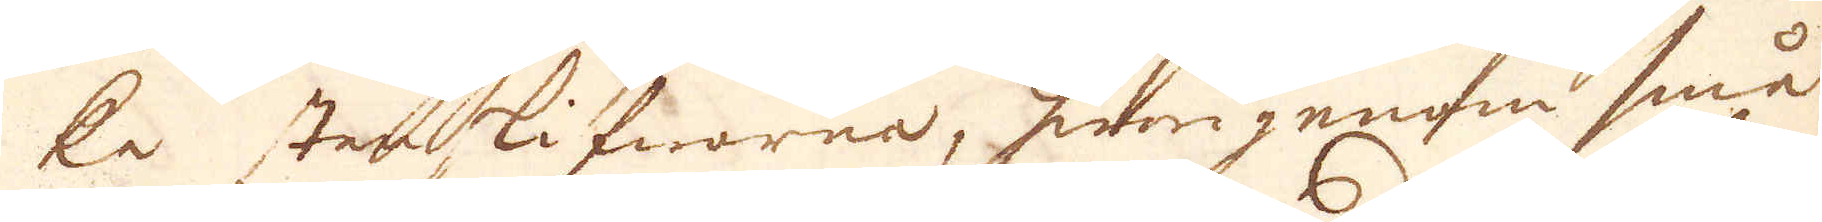ke stenskifworna, hwarigenom små
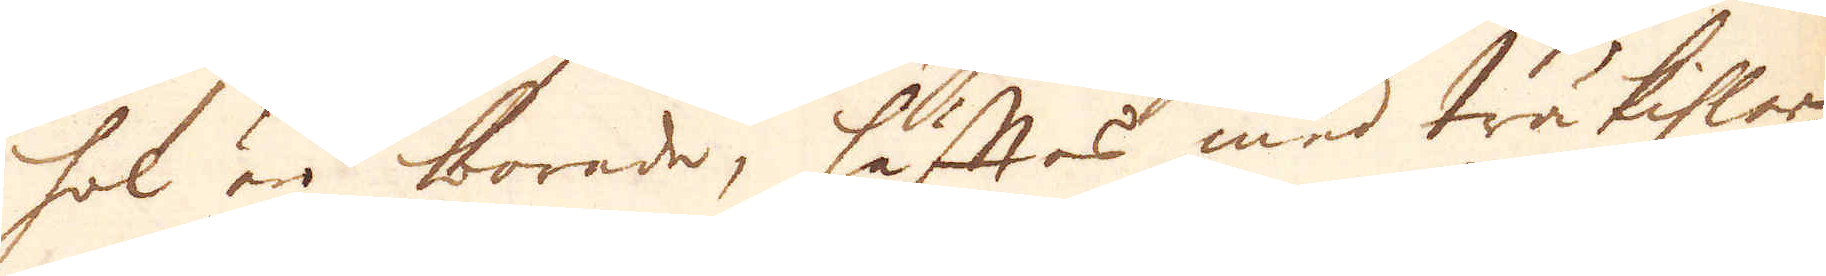hol äro borade, häftas med träkihlar
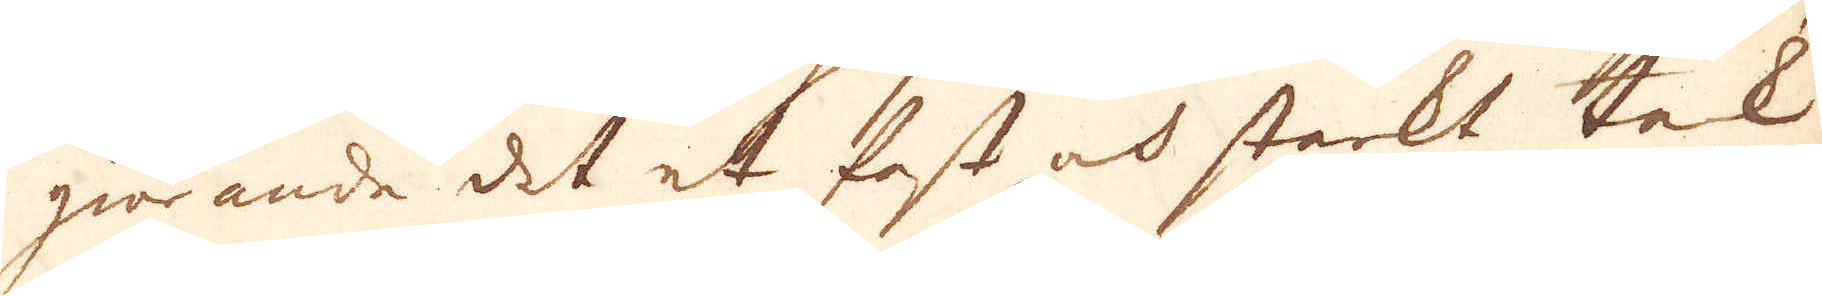giörande det et fast och starkt tak.
